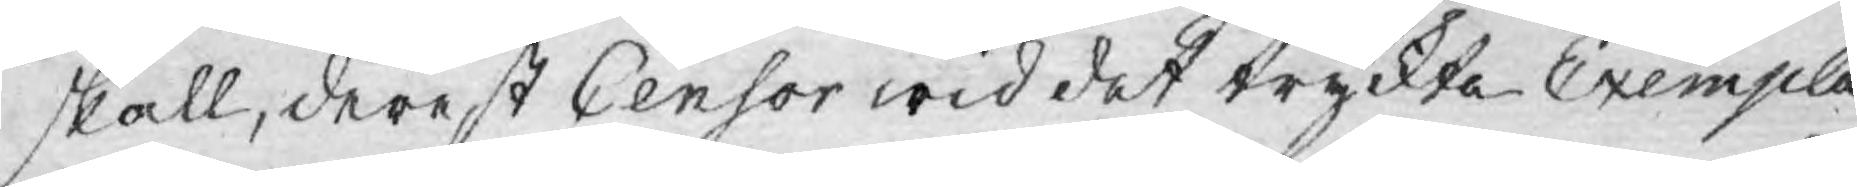skall, derest Censor wid det tryckta Exempla¬
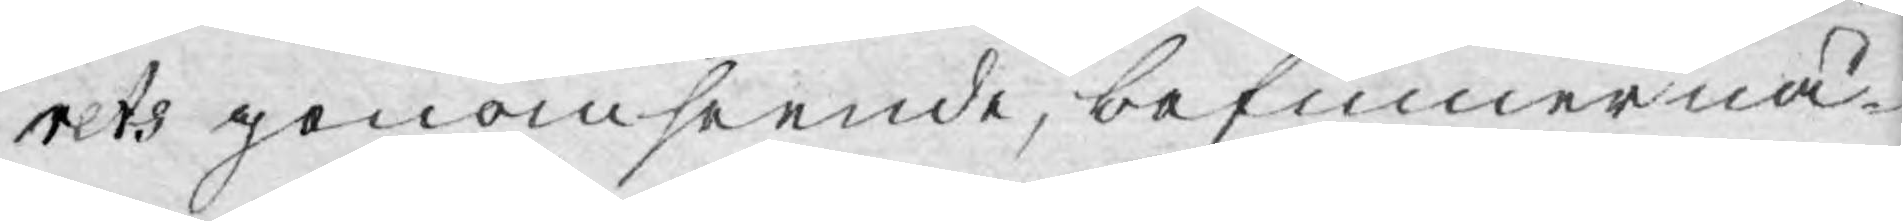rets genomseende, befinner nå¬
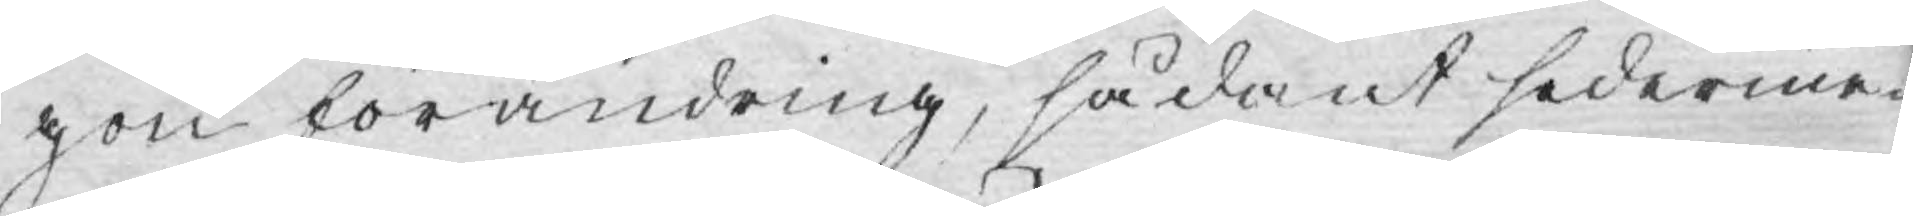gon förändring, sådant sederme¬
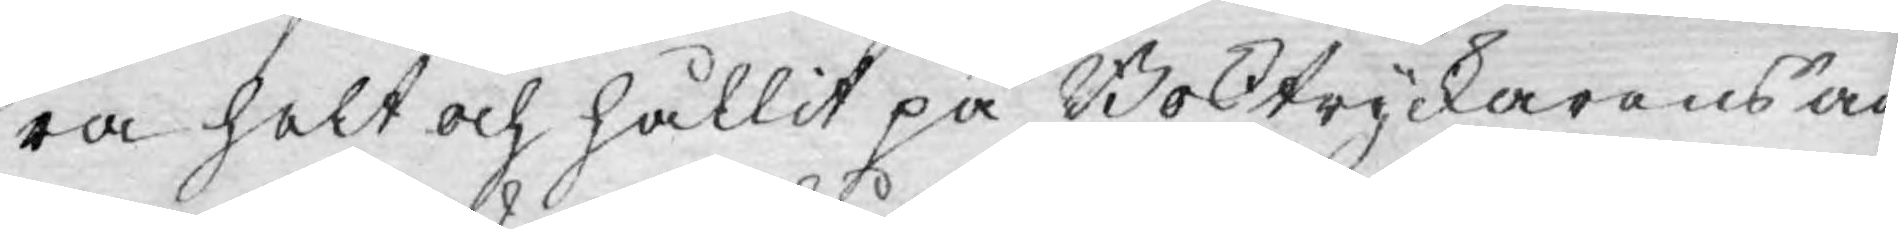ra helt och hållit på Boktryckarens an¬
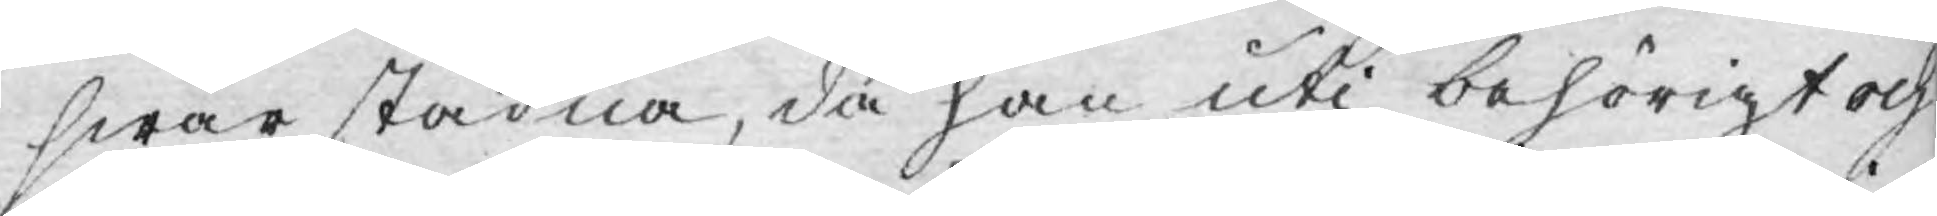swar stadna, då han uti behörigt och
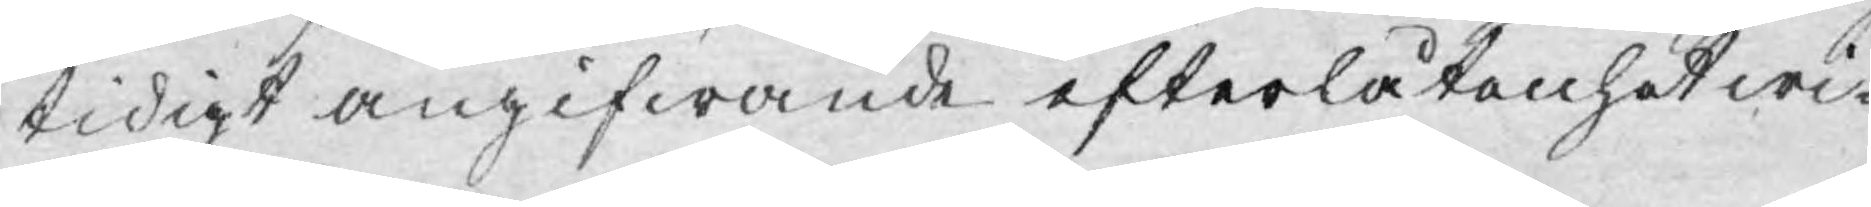tidigt angifwande efterlåtenhet wi¬
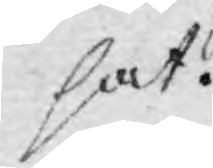sat.
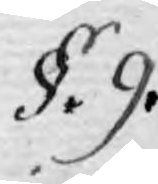§. 9.
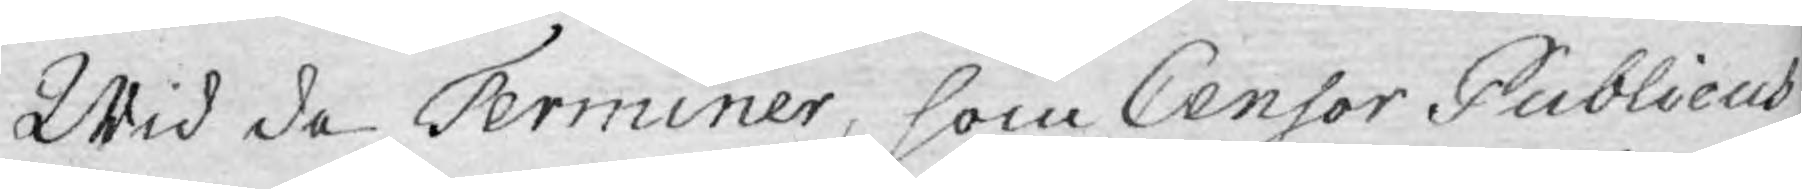Wid de Terminer, som Censor Publicus
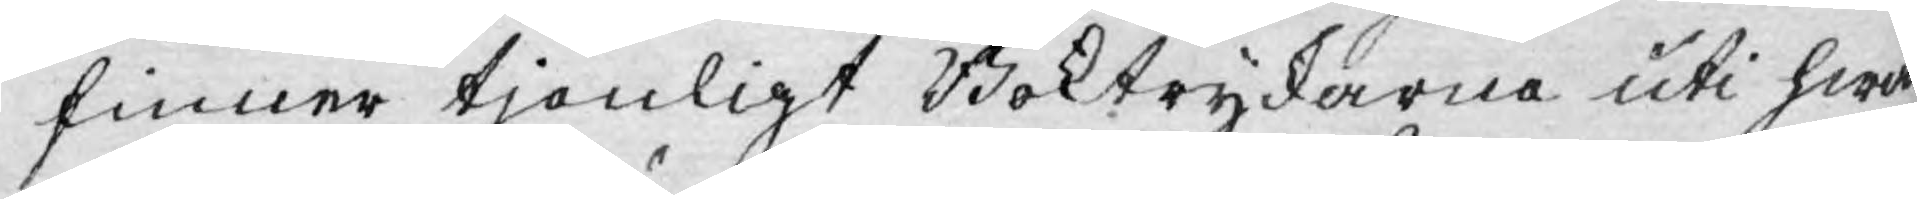finner tjenligt Boktryckarne uti hwar¬
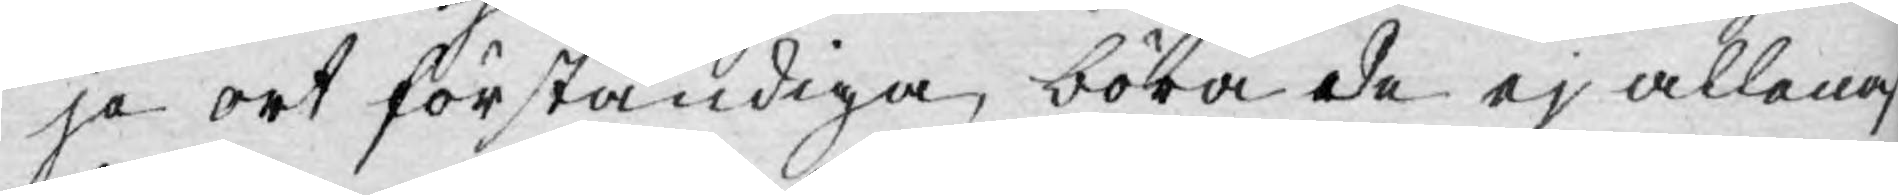je ort förständiga, böra de ej allenas
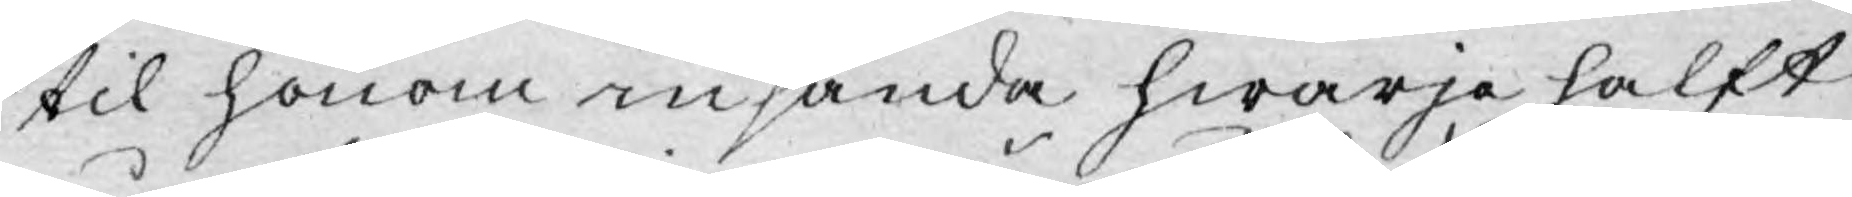til honom insända hwarje halft
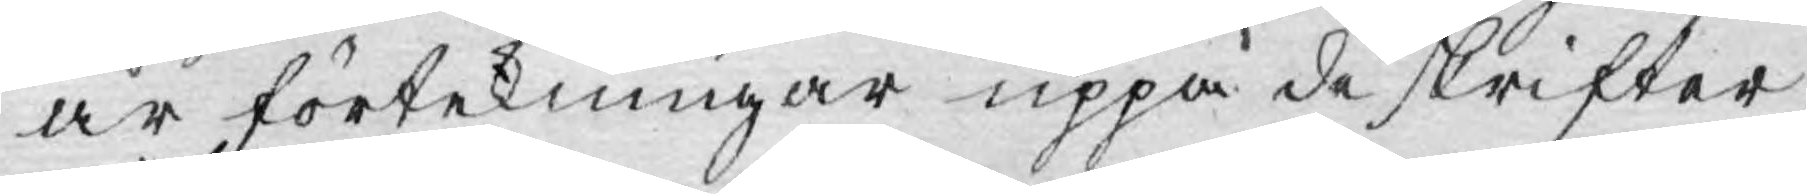år förtekningar uppå de skrifter,
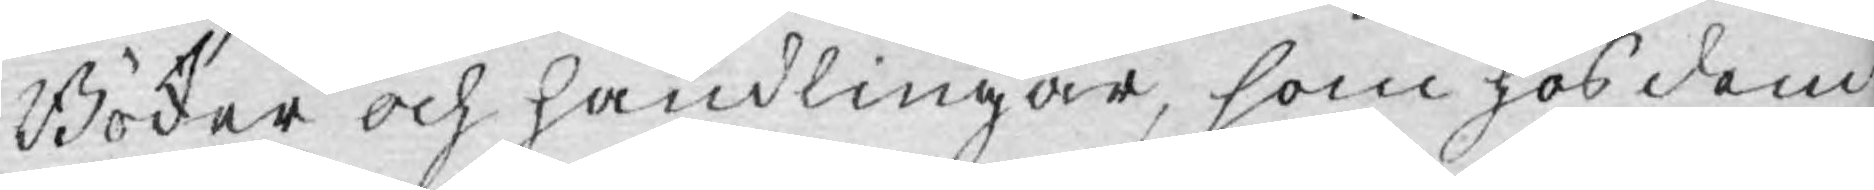Böcker och handlingar, som hos dem
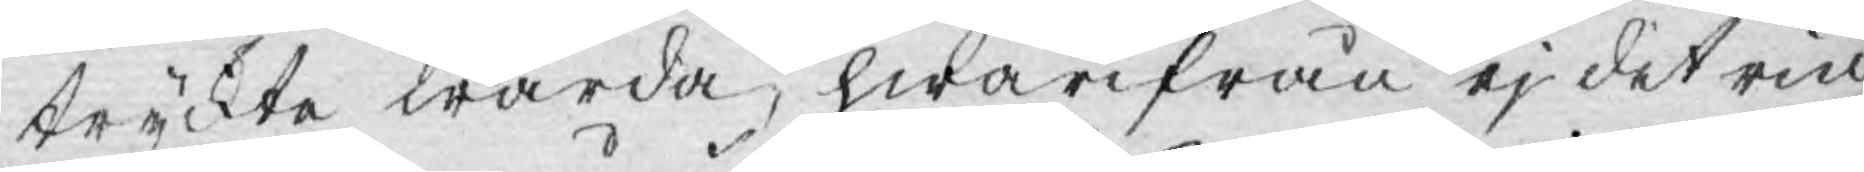tryckte warda, hwarifrån ej det rin¬
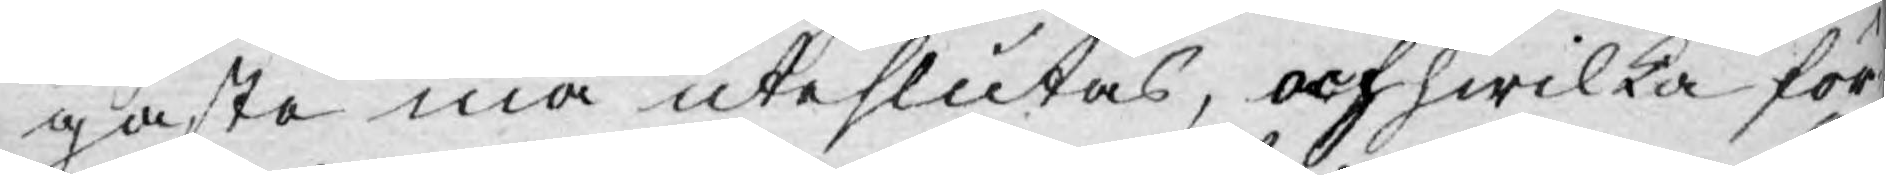gaste må uteslutas, och hwilka för¬
